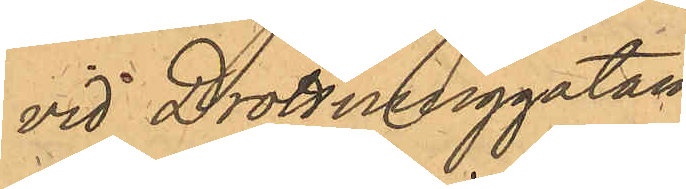vid Drottninggatan.
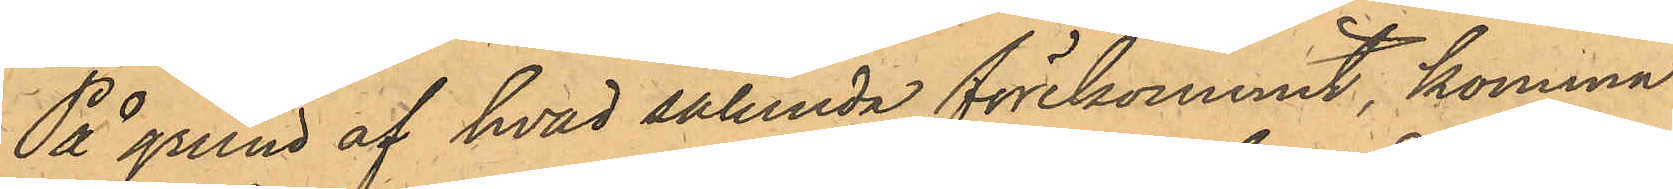På grund af hvad sålunda förekommit, komma
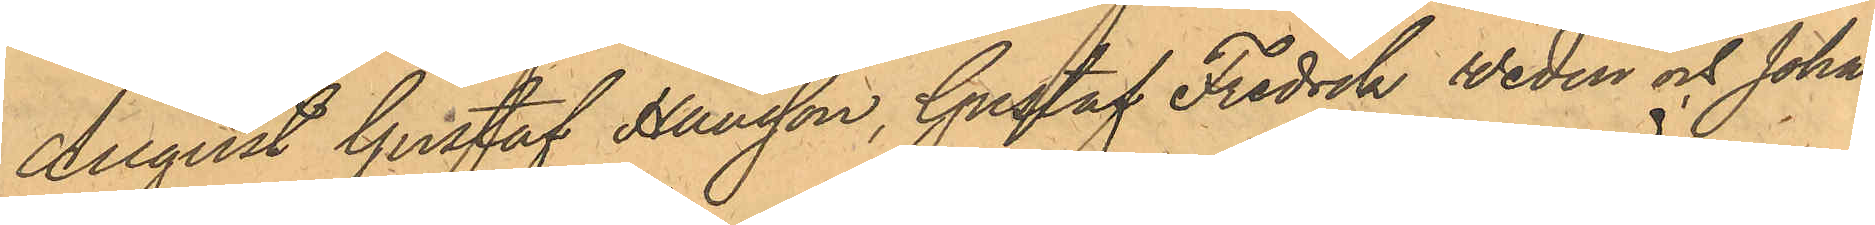August Gustaf Hansson, Gustaf Fredrik Wedin och Johan
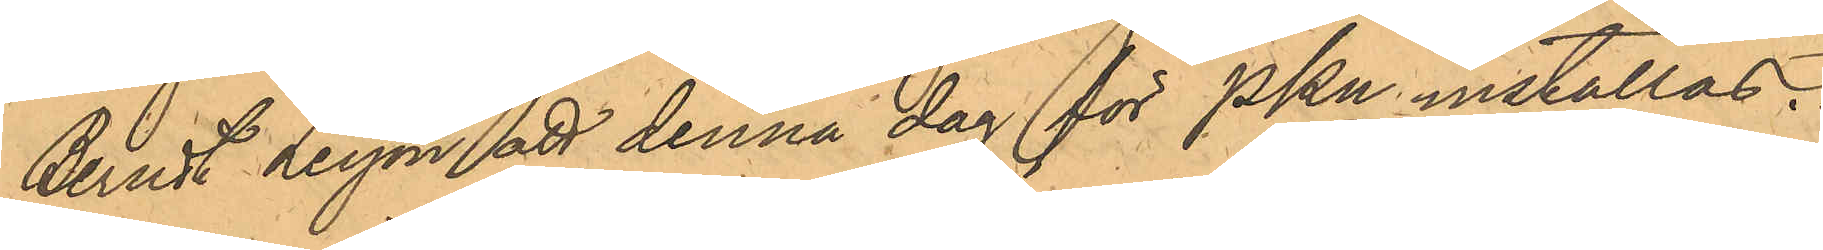Berndt Leyon att denna dag för PKn inställas.
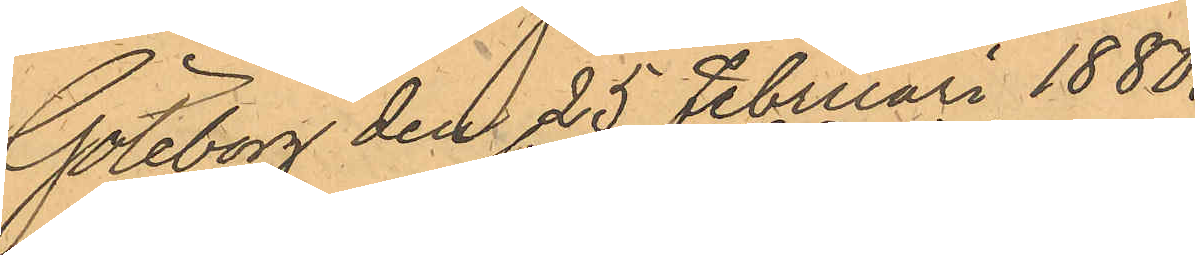Göteborg den 25 Februari 1880.
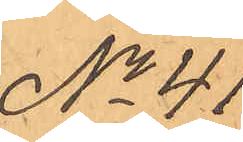No 41.
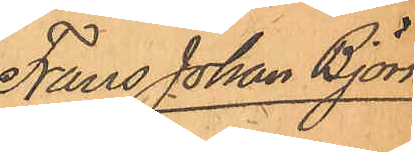Frans Johan Björk-
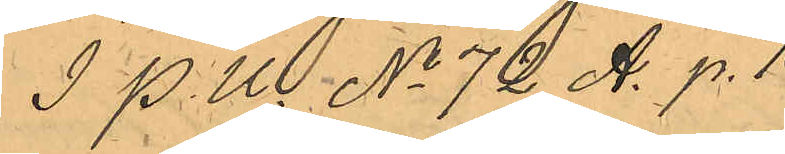I P. U. No 72 A. p. 1
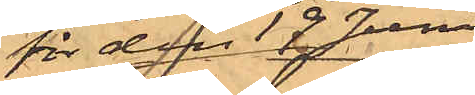för den 19 Juni
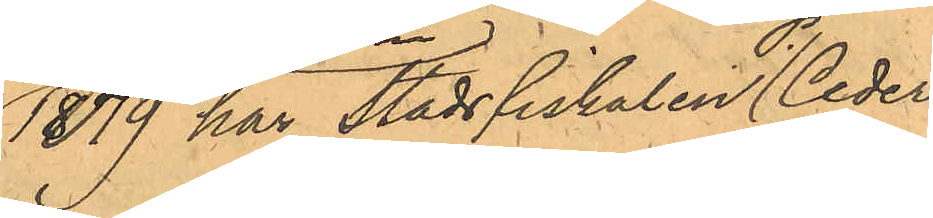1879 har Stadsfiskalen P. Ceder¬
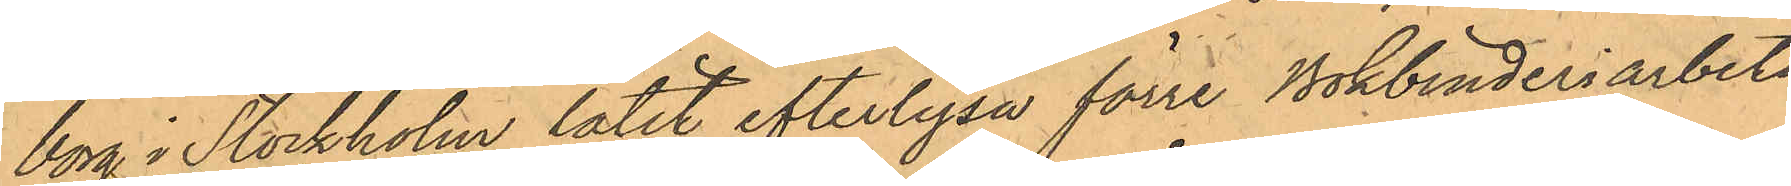borg i Stockholm låtit efterlysa förre Bokbinderiarbeta¬
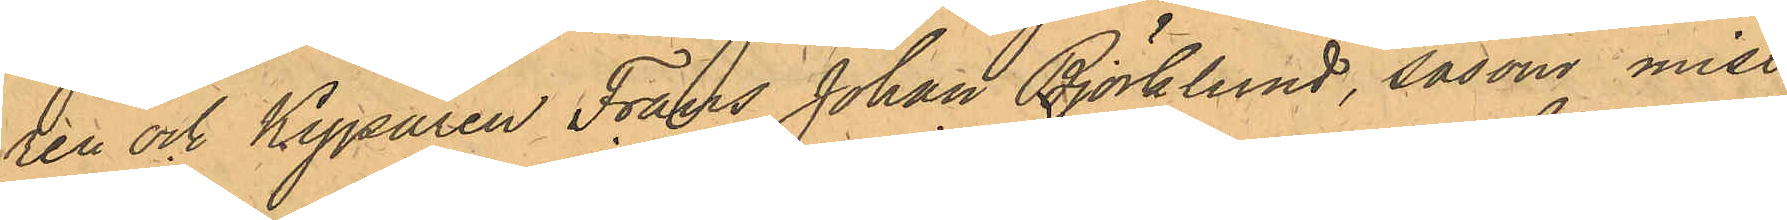ren och Kyparen Frans Johan Björklund, som miss¬
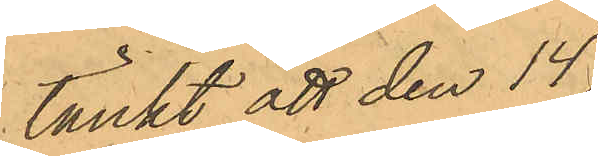tänkt att den 14
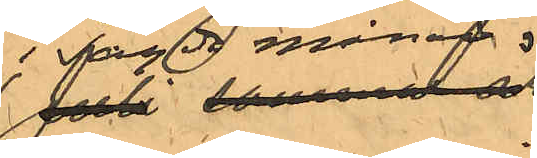i sagde månad
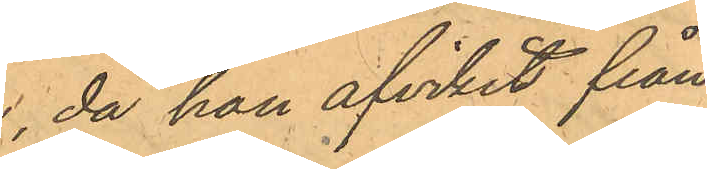då han afvikit från
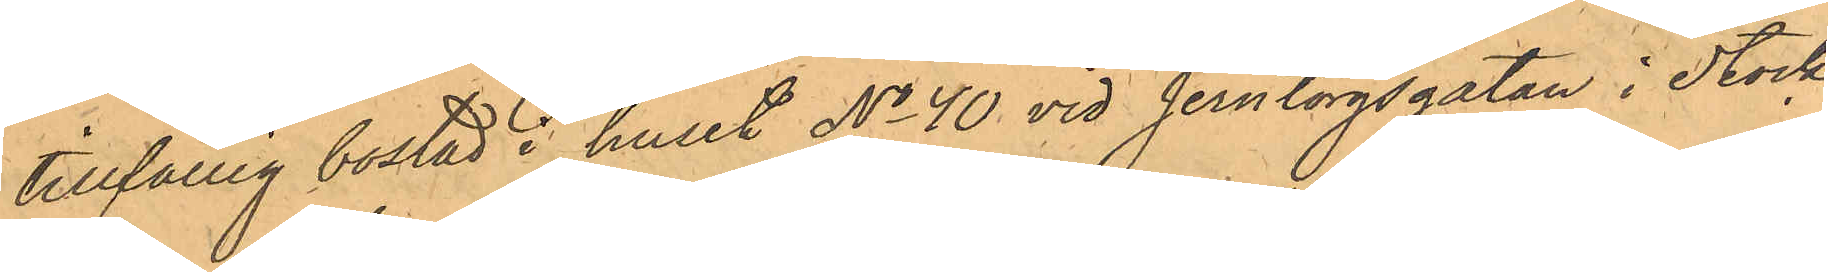tillfällig bostad i huset No 40 vid Jerntorgsgatan i Stock¬
